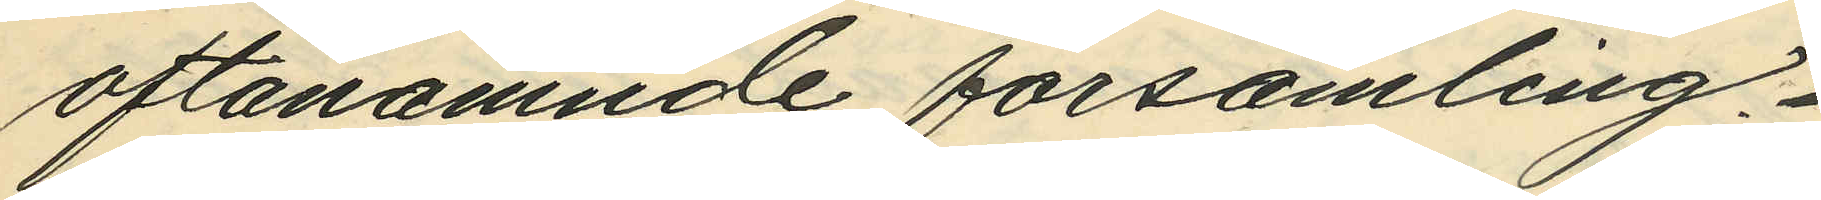oftanämnde församling.
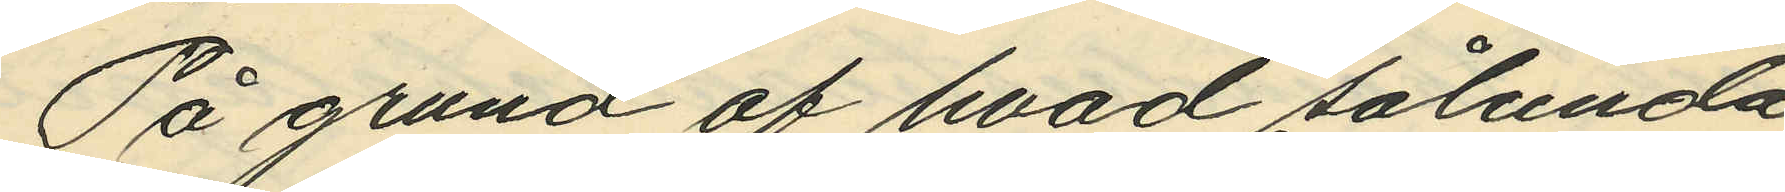På grund af hvad sålunda
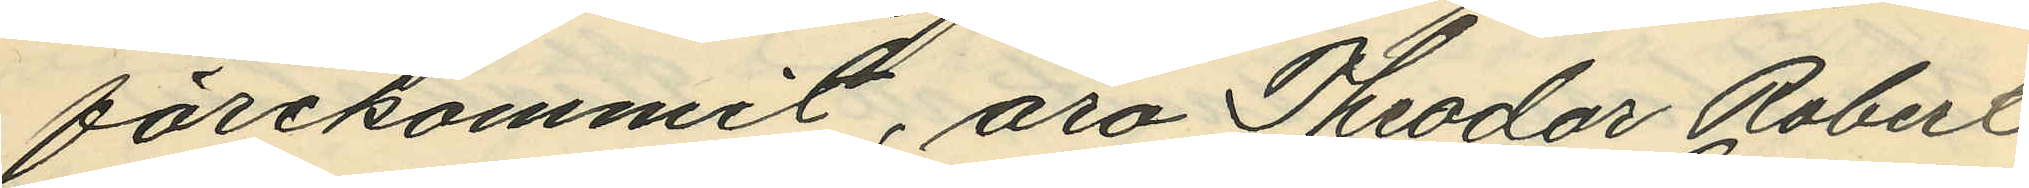förekommit, äro Theodor Robert
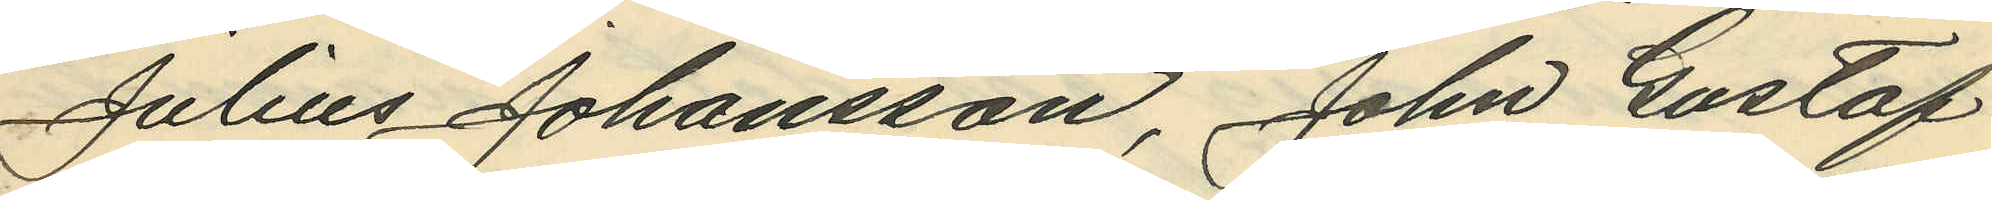Julius Johansson, John Gustaf
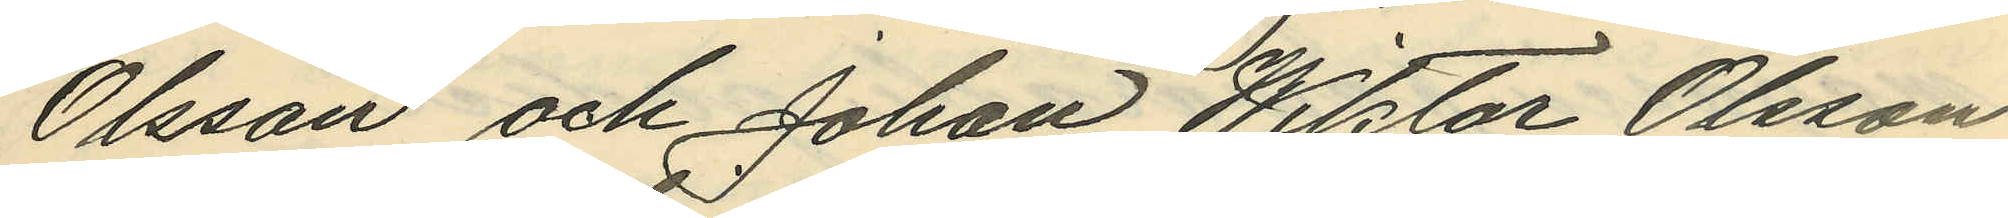Olsson och Johan Wiktor Olsson
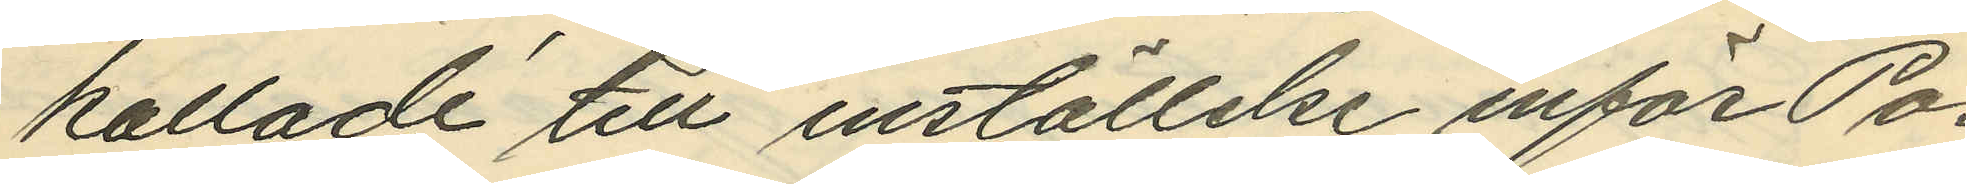kallade till inställelse inför Po¬
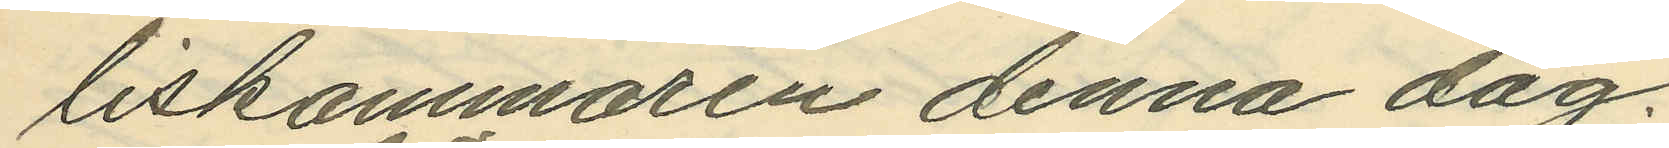liskammaren denna dag.
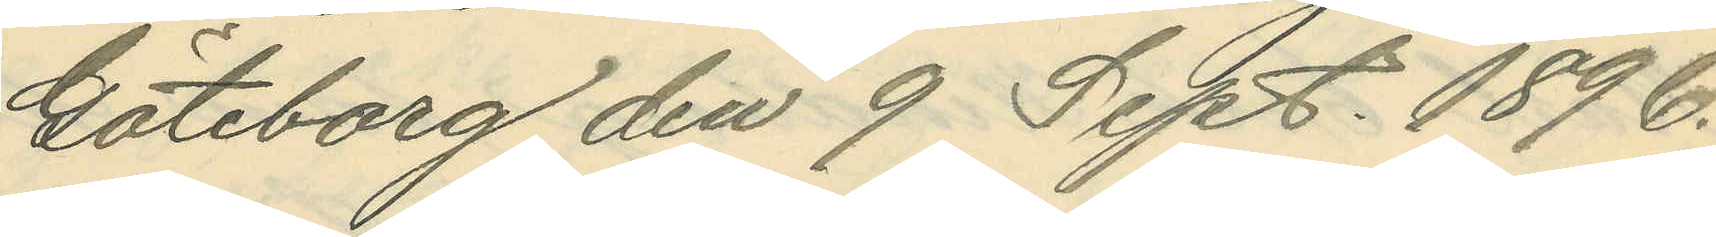Göteborg den 9 Sept. 1896.
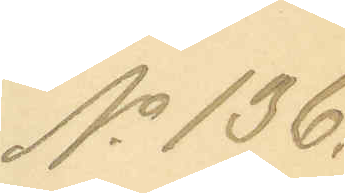No 136.
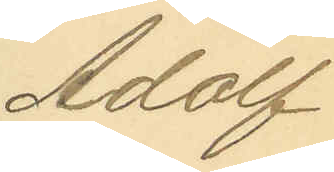Adolf
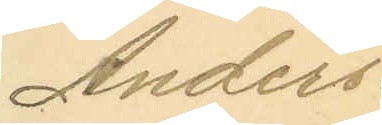Anders¬
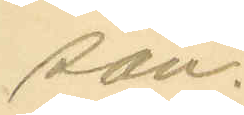son.
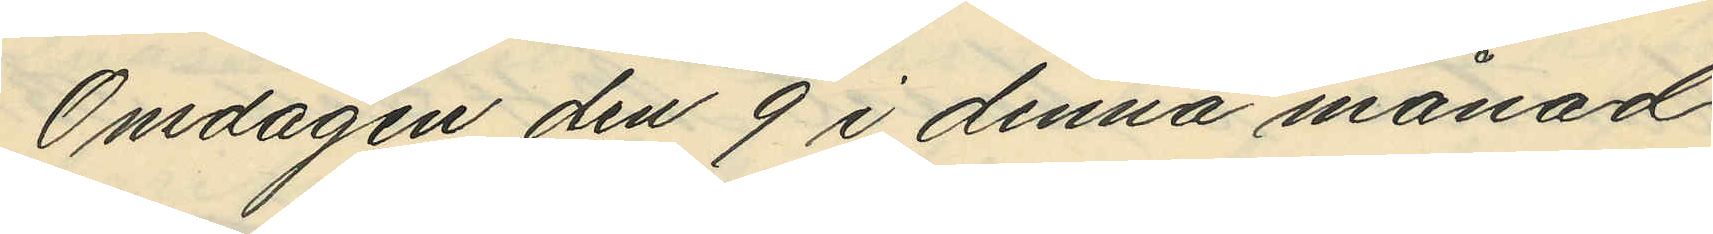Onsdagen den 9 i denna månad
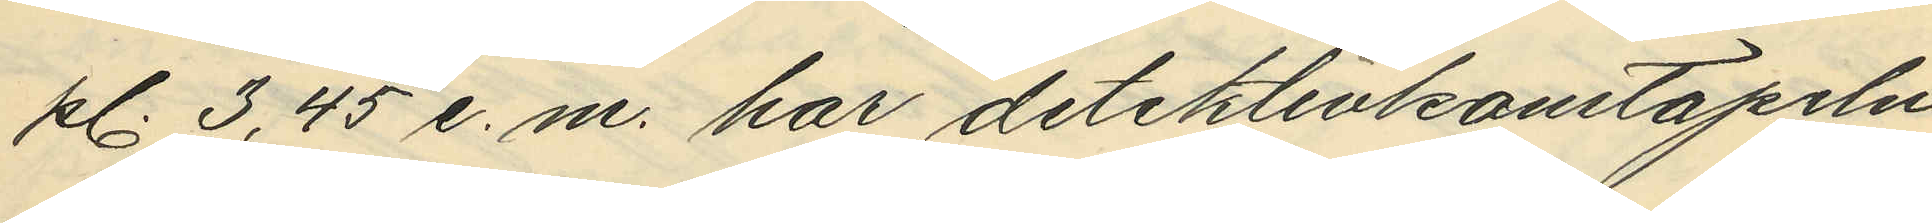kl. 3,45 e.m. har detektivkonstapeln
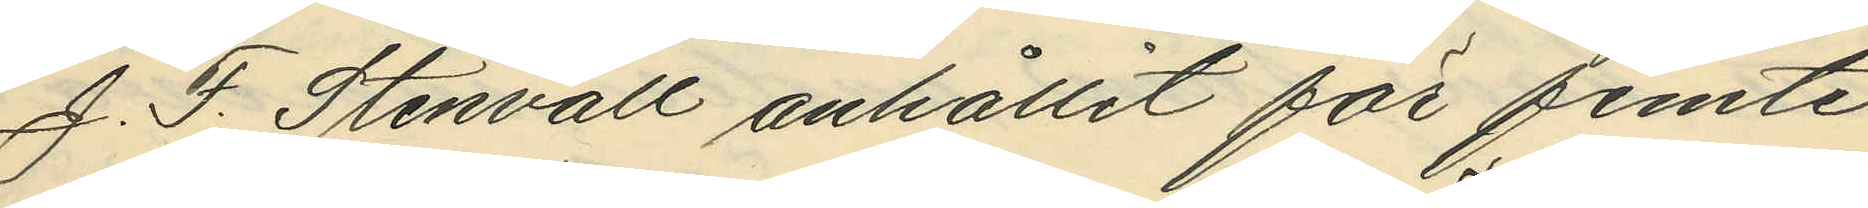J. F. Stenvall anhållit för femte
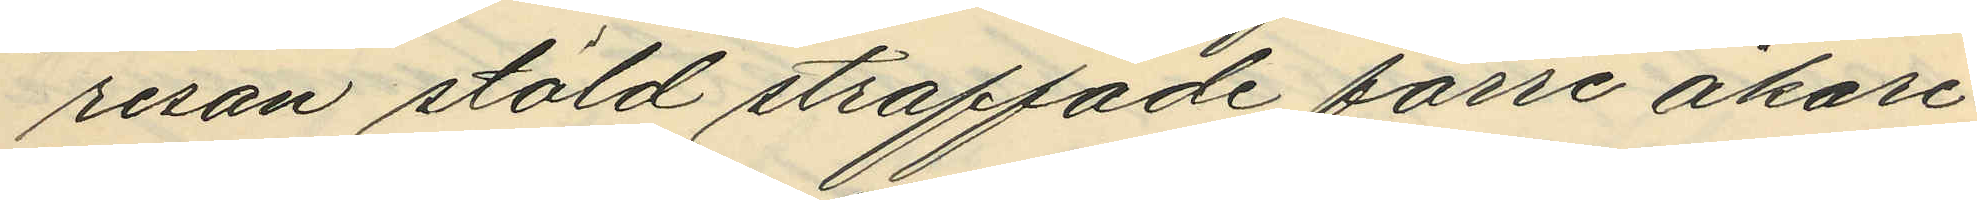resan stöld straffade förre åkare¬
